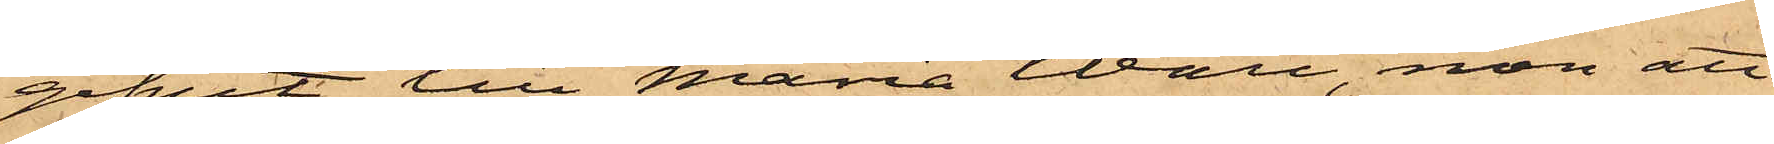gifvit till Maria Wall, men att
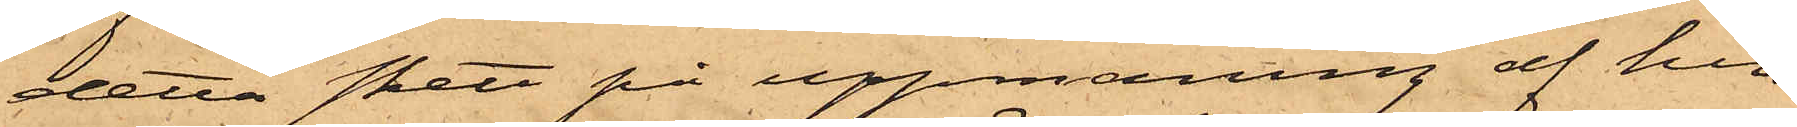detta skett på uppmaning af hen¬
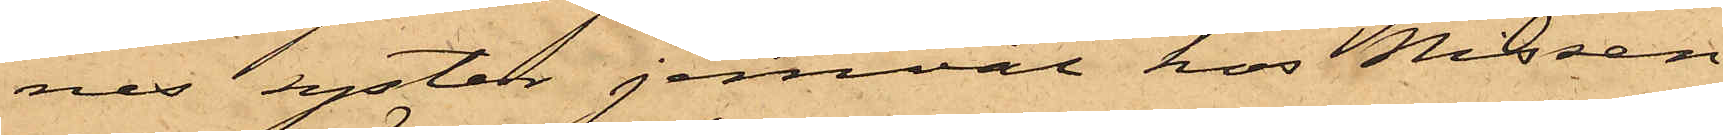nes syster jemväl hos Nissen
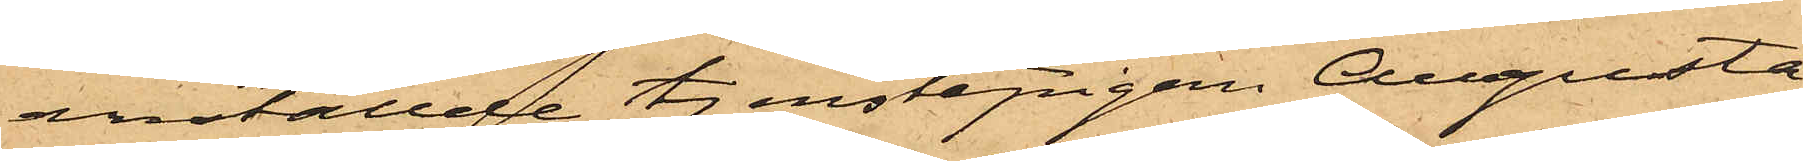anställde tjenstepigan Augusta
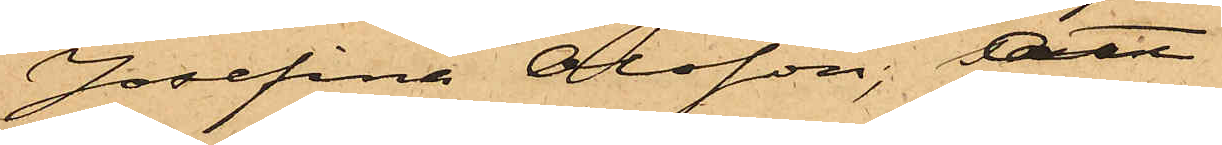Josefina Olsson; att
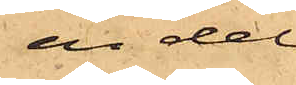en del
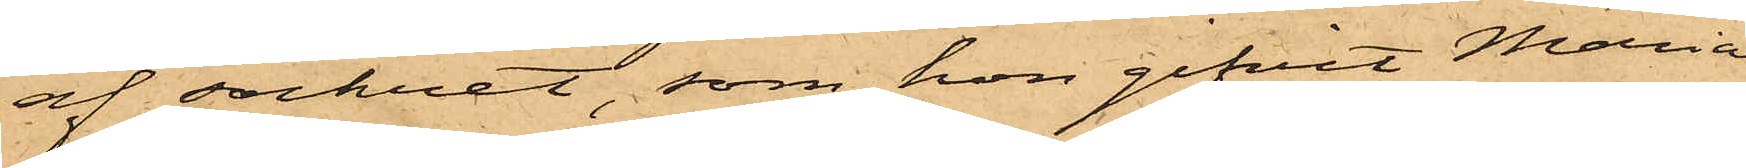af sockret, som hon gifvit Maria
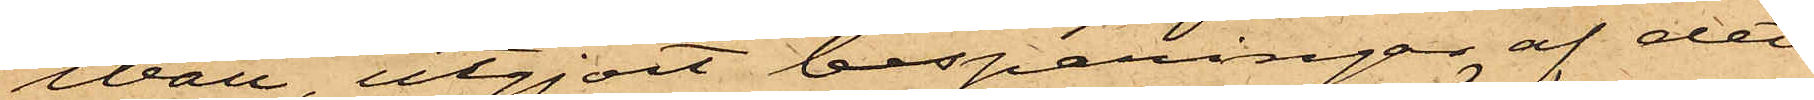Wall, utgjort besparingar af det
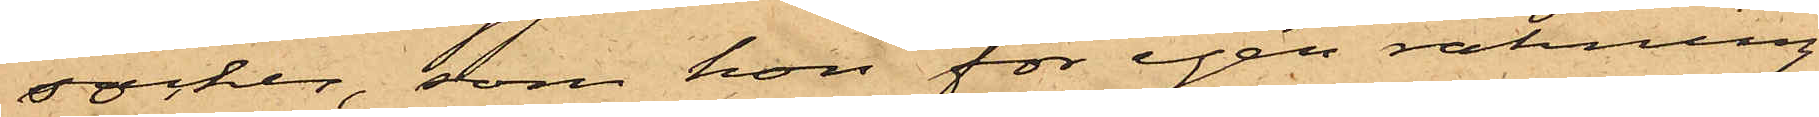socker, som hon för egen räkning
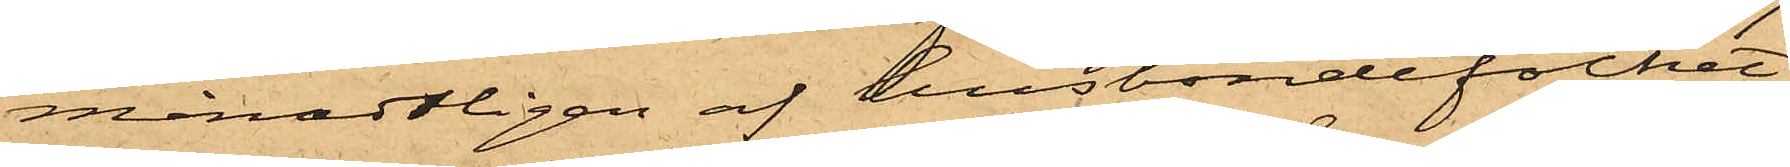månadtligen af husbondefolket
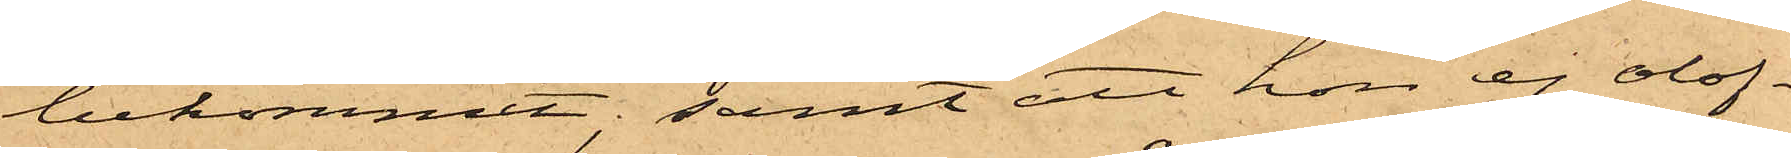bekommit; samt att hon ej olof¬
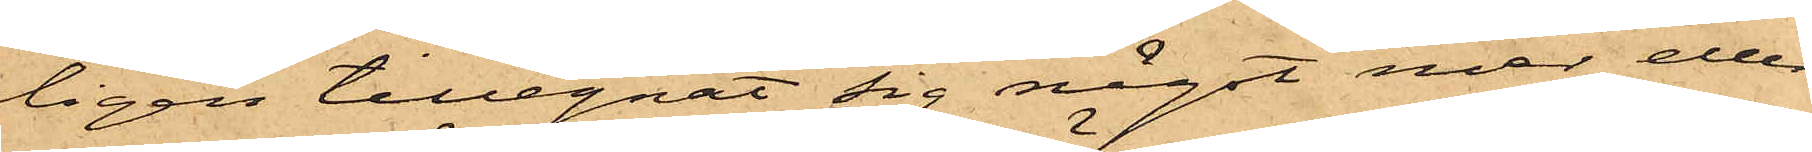ligen tillegnat sig något mer eller
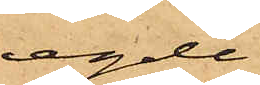egde
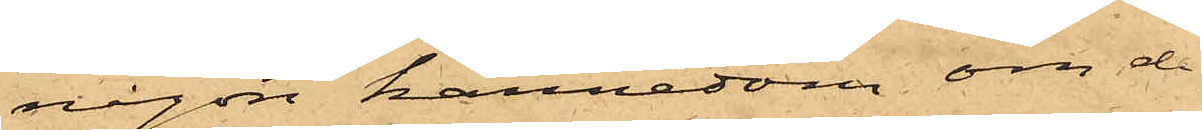någon kännedom om de
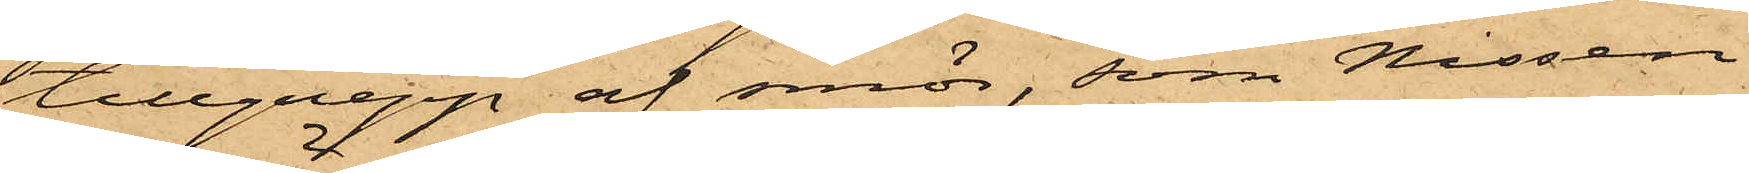tillgrepp af smör, som Nissen
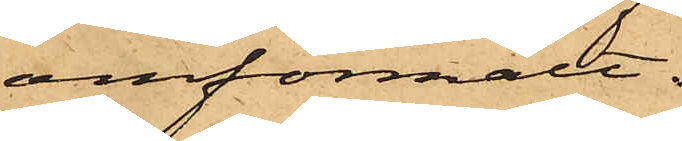omförmält.
